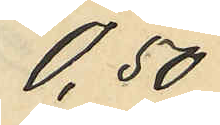0,50
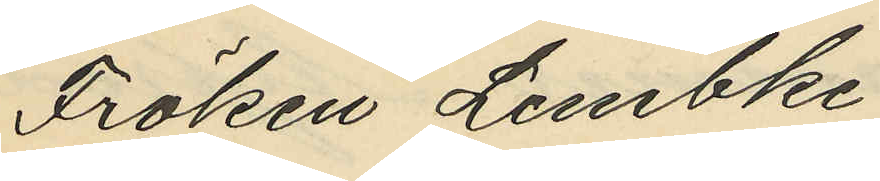Fröken Lembke
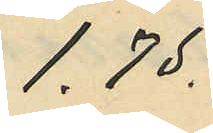1,75.
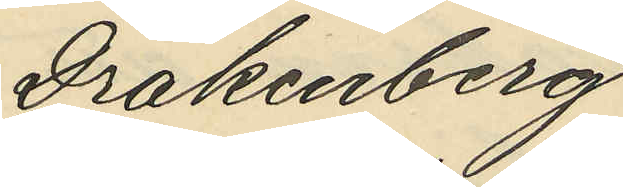Drakenberg
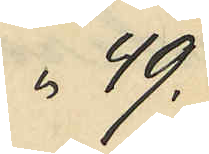49.
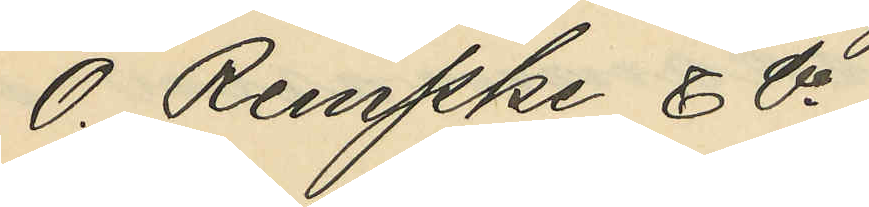O. Rempke & Co
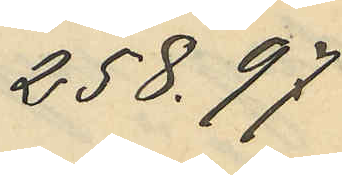258.97
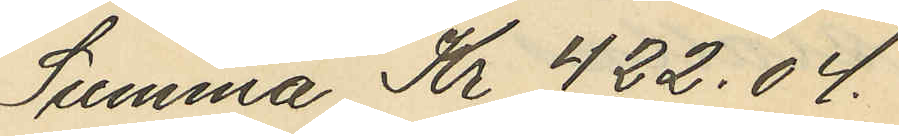Summa Kr 422.04.
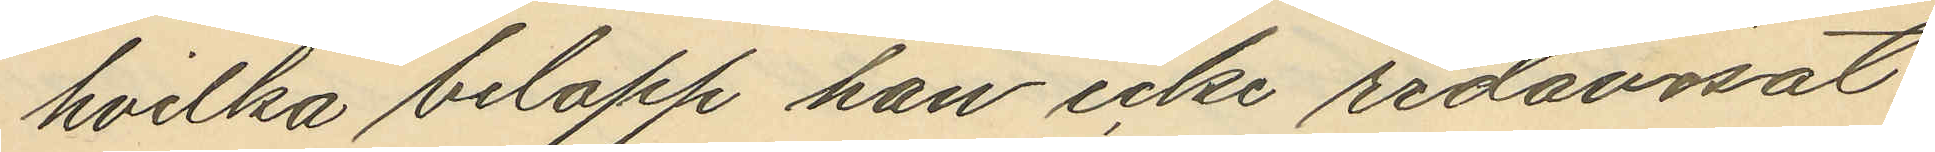hvilka belopp han icke redovisat
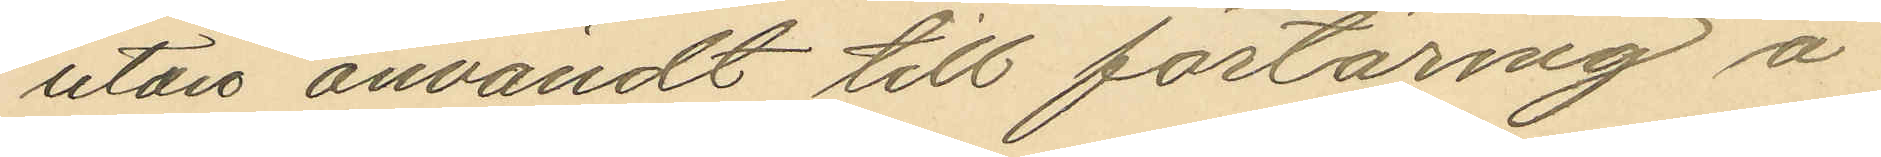utan användt till förtäring å
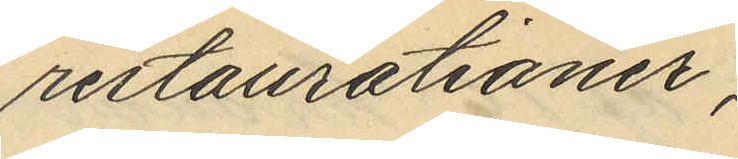restaurationer,
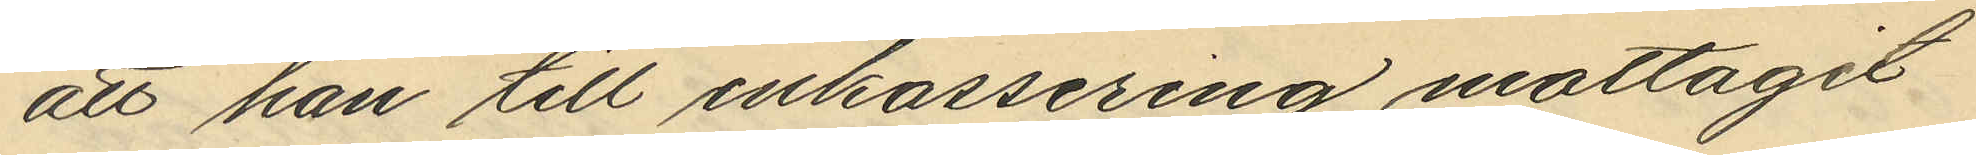att han till inkassering mottagit
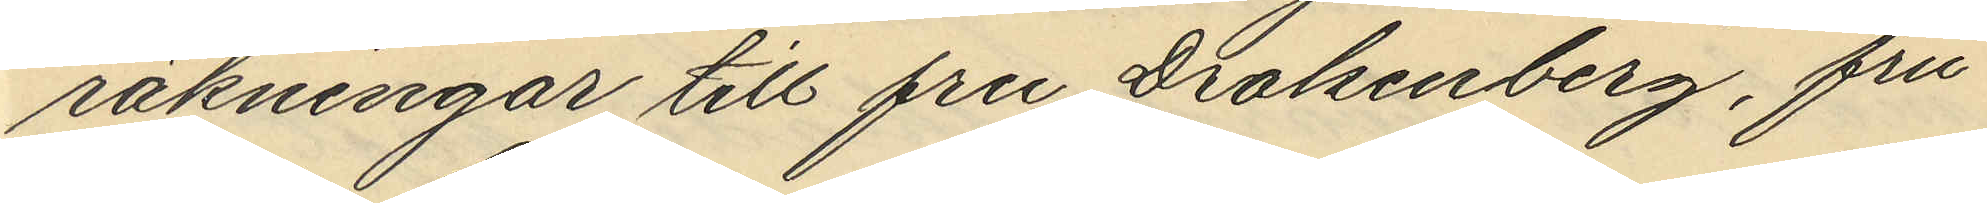räkningar till fru Drakenberg, fru
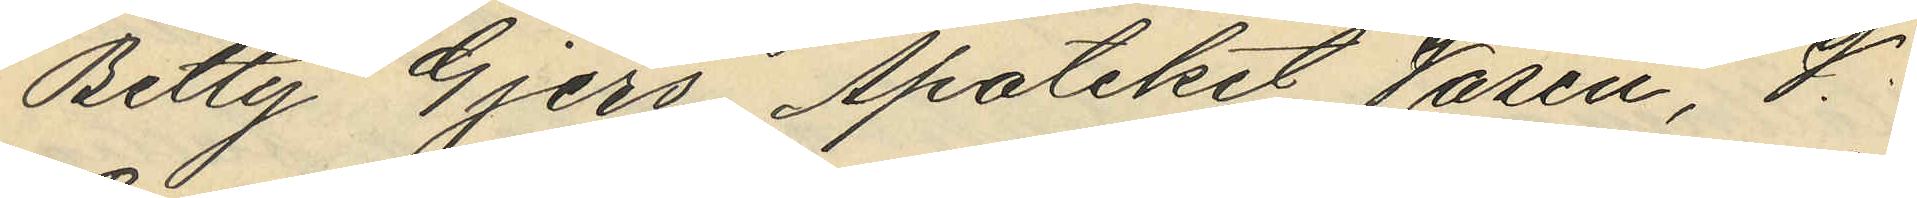Betty Gjers, Apoteket Vasen, J.
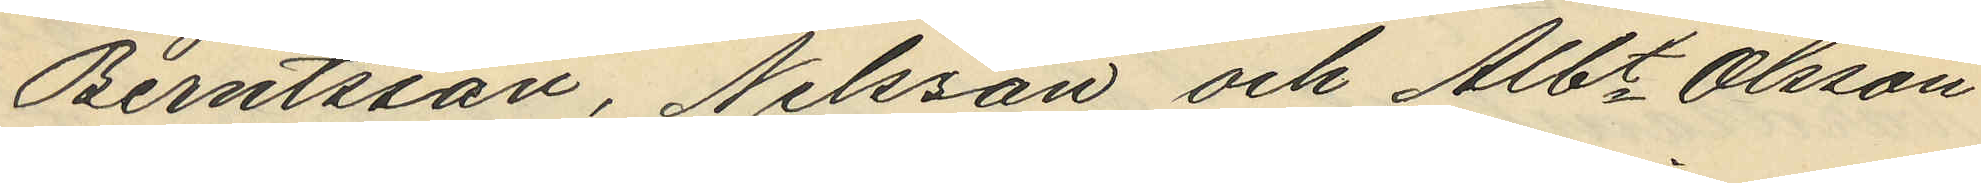Berntsson, Nilsson och Alb. Olsson
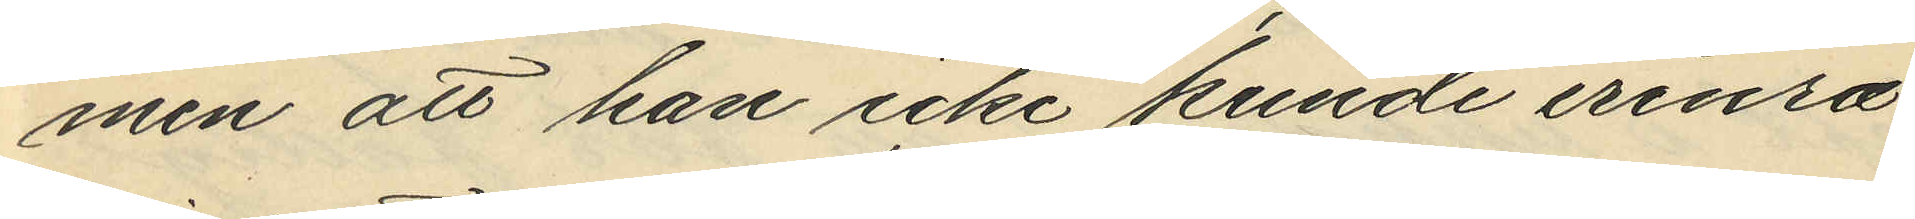men att han icke kunde erinra
